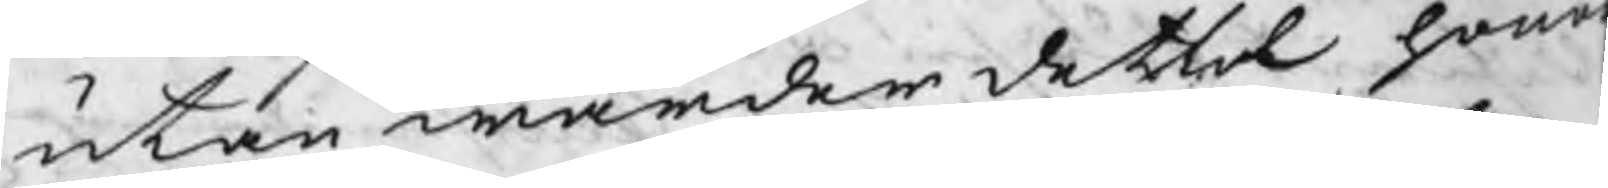utan warder detta hono
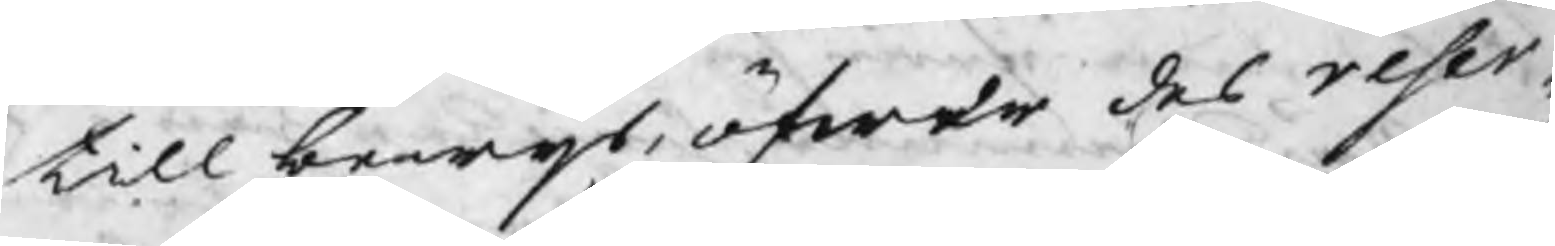till bewijs öfwer des reser¬
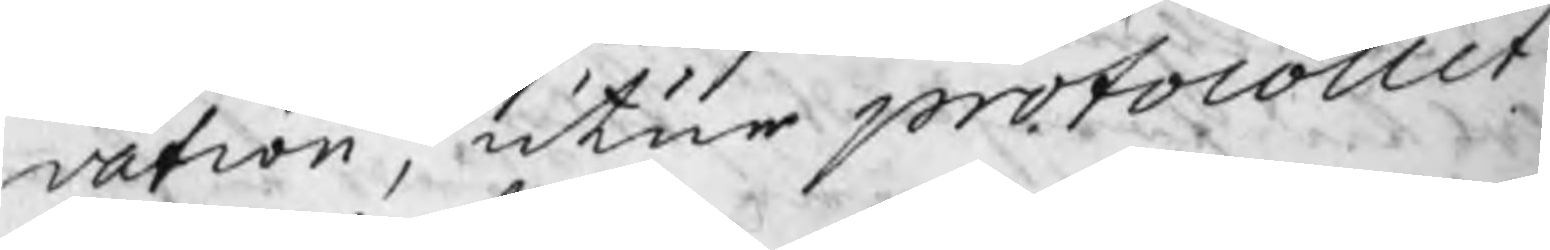vation, utur protocollet
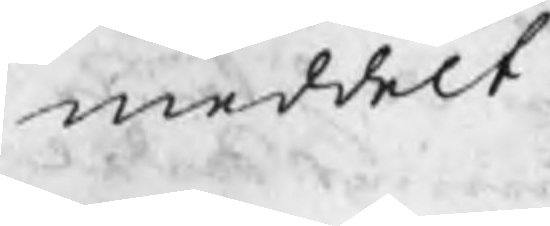meddelt.
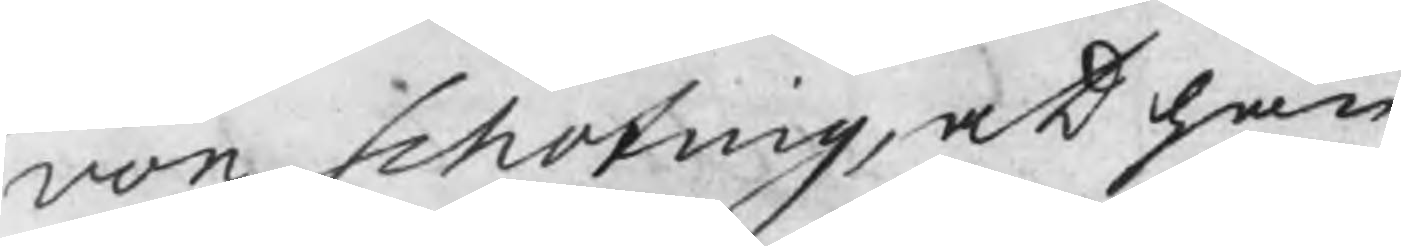von Schoting, at han
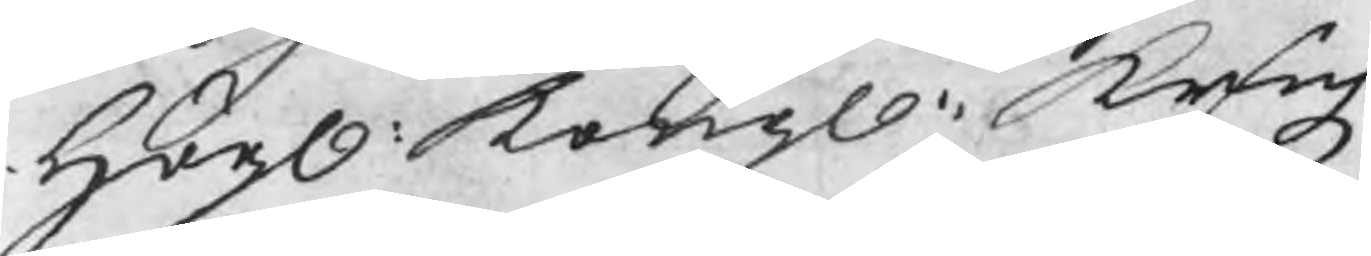Högl. Kongl. Bergz
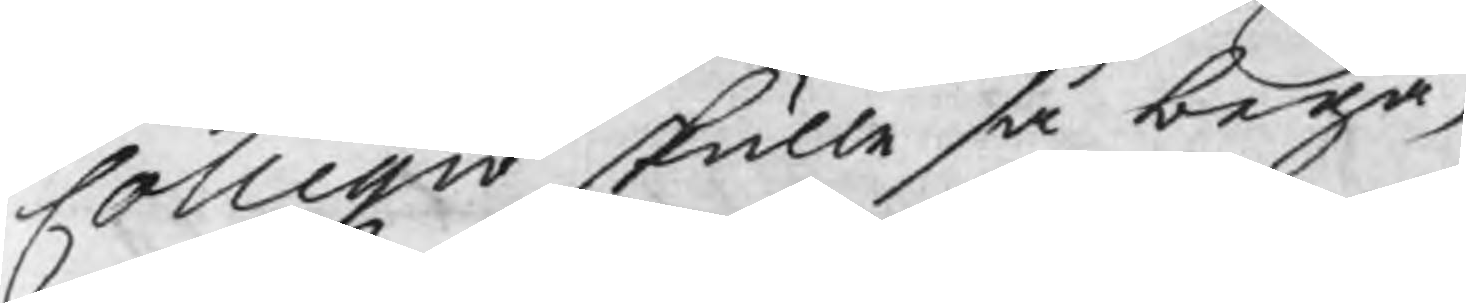Collegio skulle så begär¬
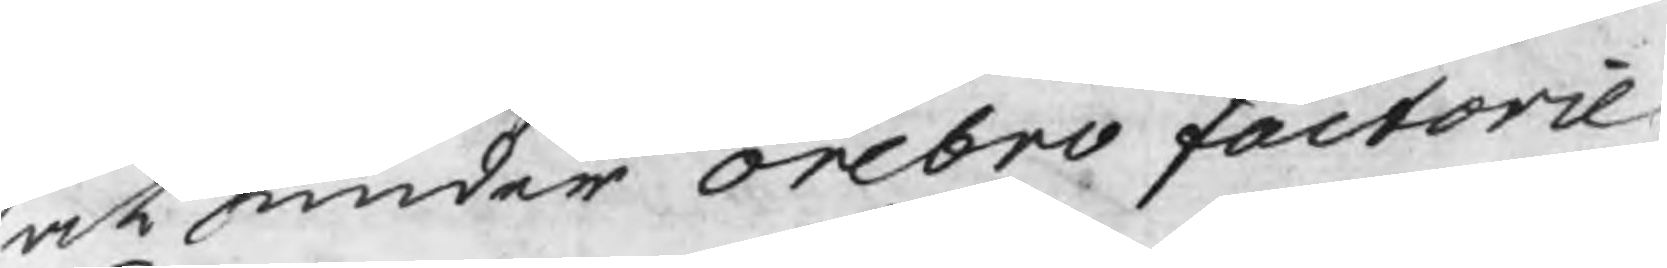rit under Orebro factorie
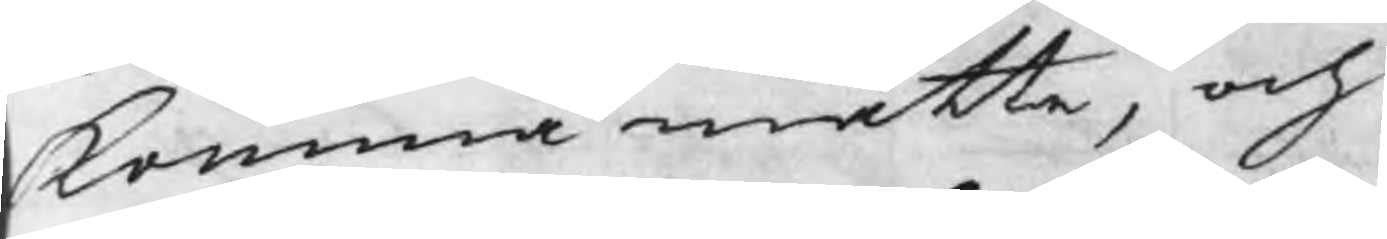komma måtte, och
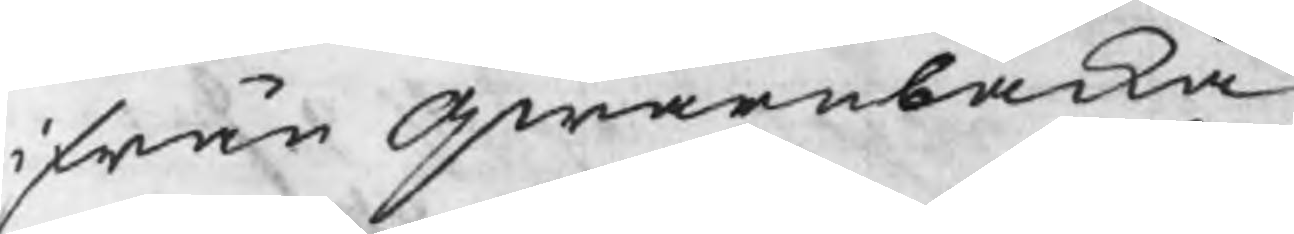ifrån qwarnbacka
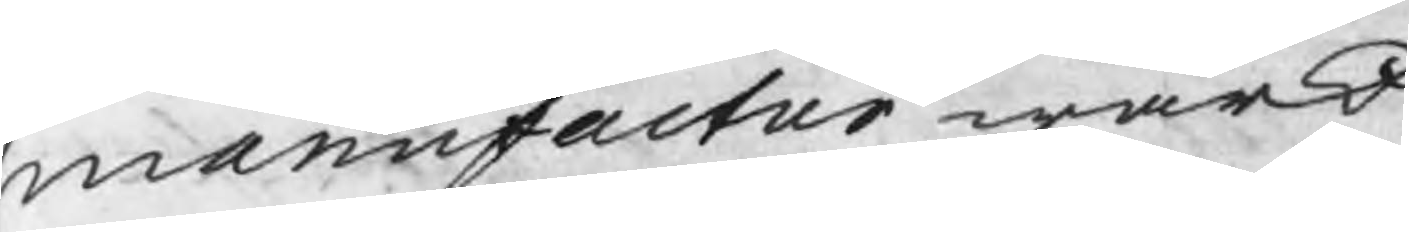manufactur wärk
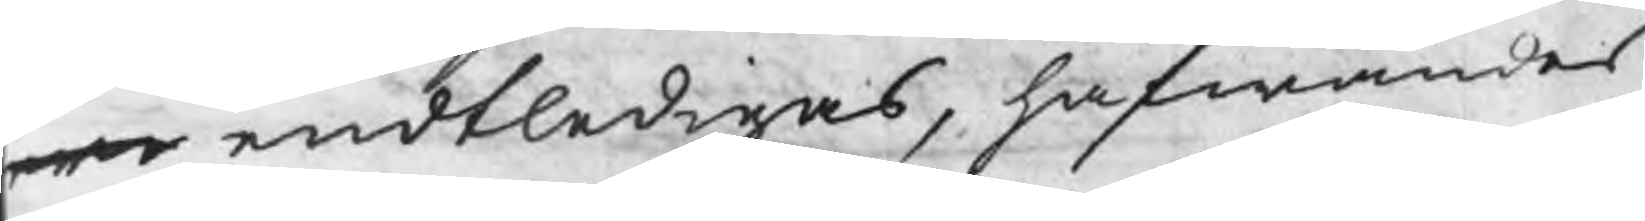we endtledigas, hafwandes
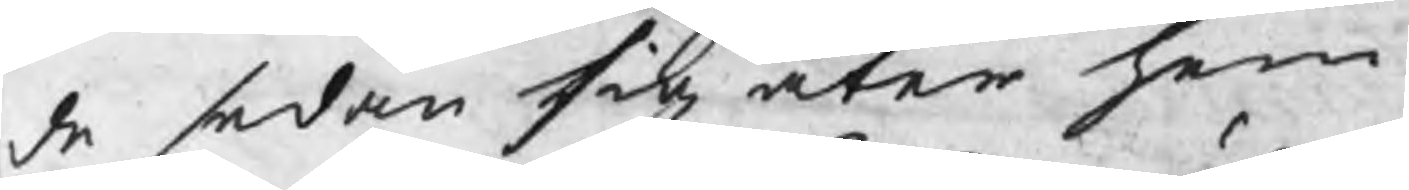de sedan sig åter hem
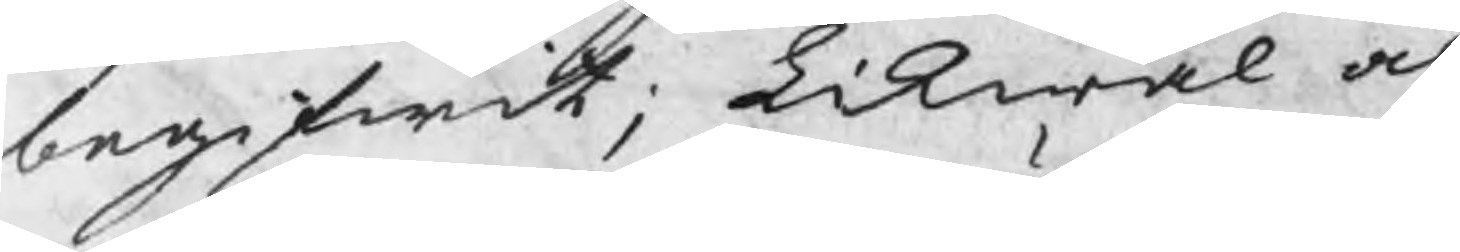begifwit; Likwäl och
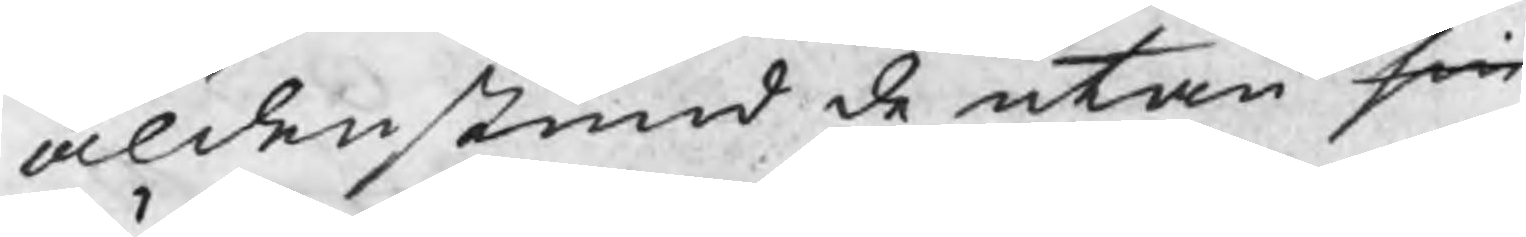aldenstund de utan sin
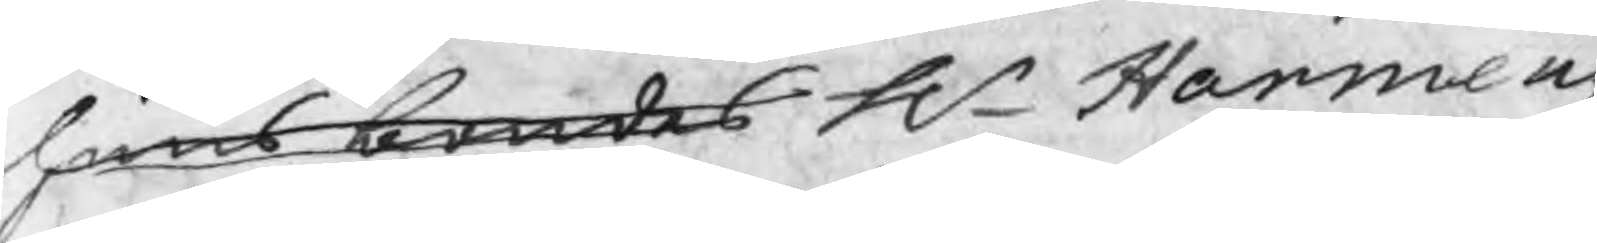huusbondes Hr Harmens
